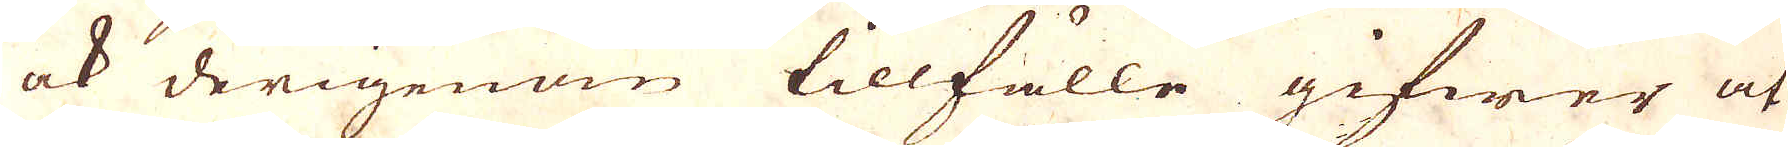ock derigenom tillfälle gifwer at
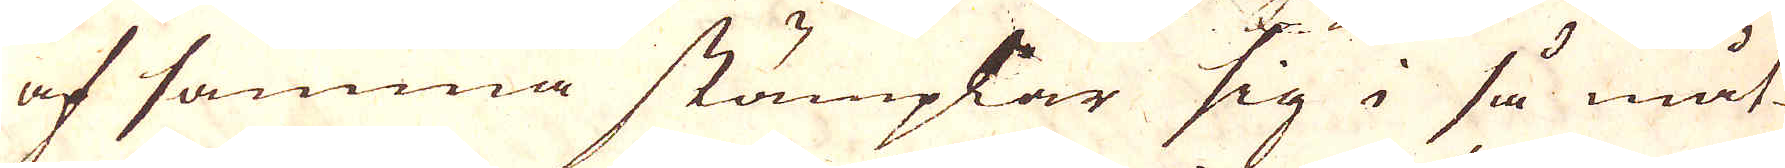af samma stämplar sig i så måt-
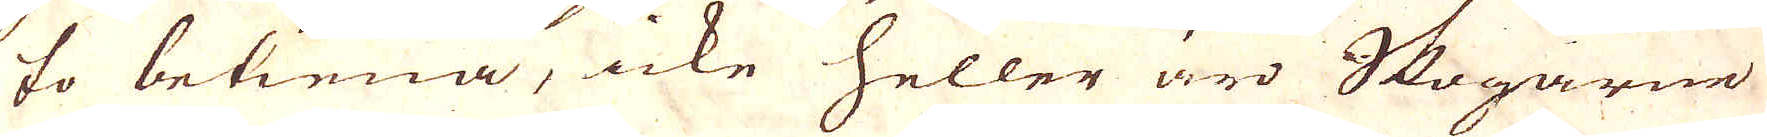to betiena, icke heller äro Skogarne
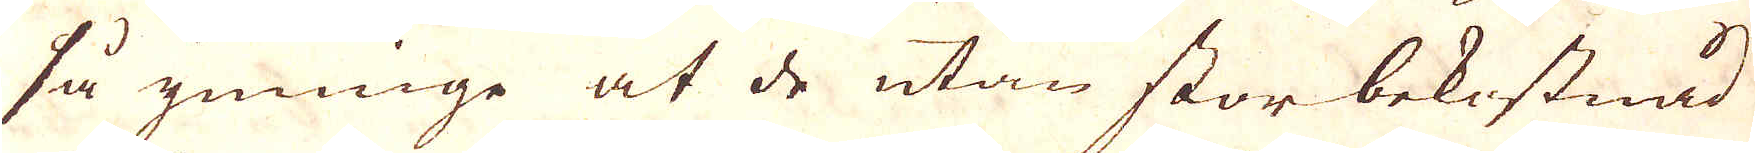så ymnige at de utan stor bekostnad
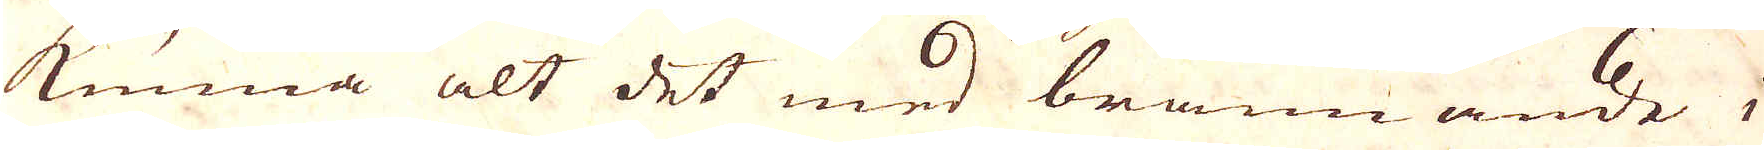kunna alt det med brännande i
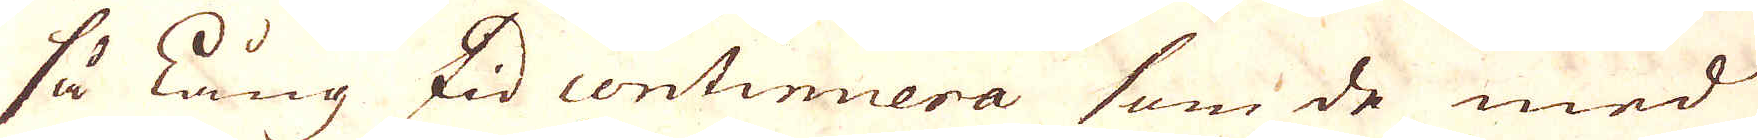så lång tid continuera som de med
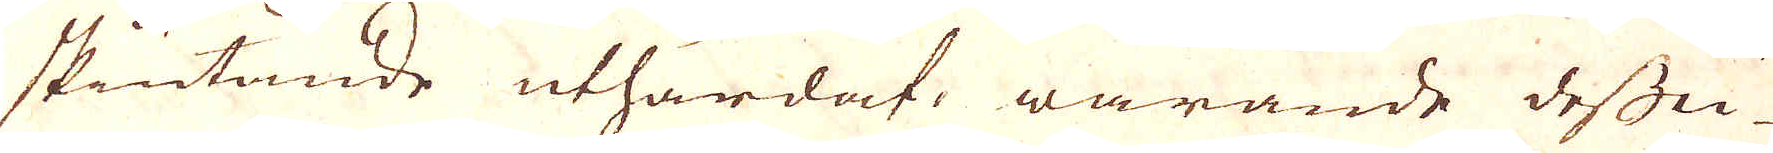skiutande uthärdat, warande dessu-
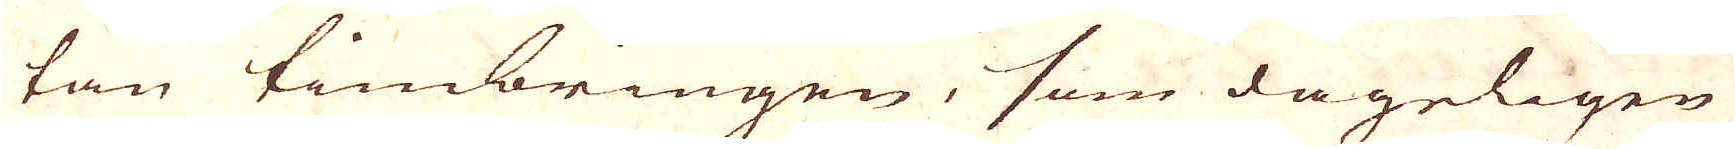tan timbringen, som dageligen
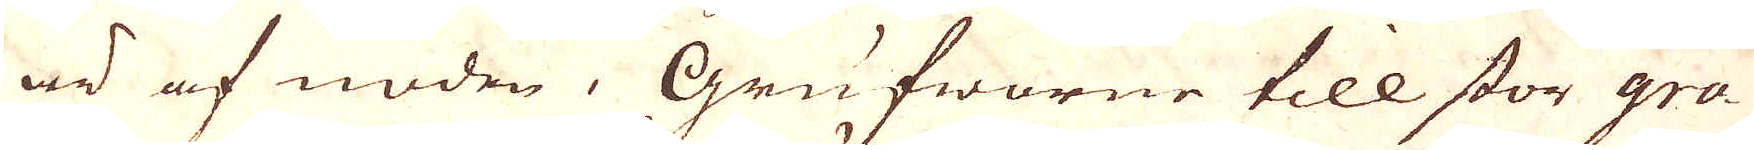är af nöden, Grufworne till stor gra-
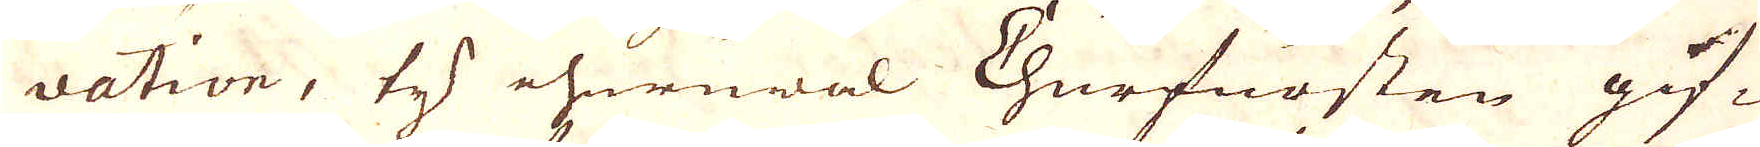vation, ty ehuruwäl Churfursten gif-
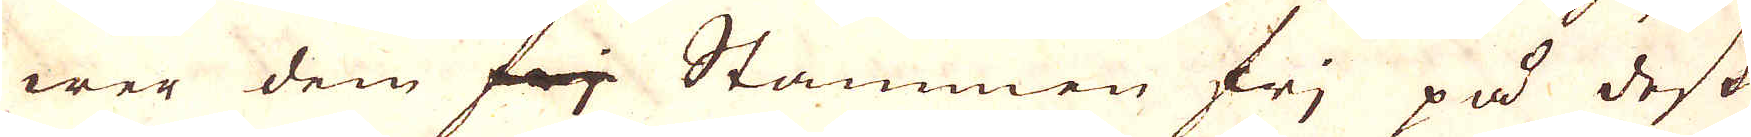wer dem frj Stammen frj på dess
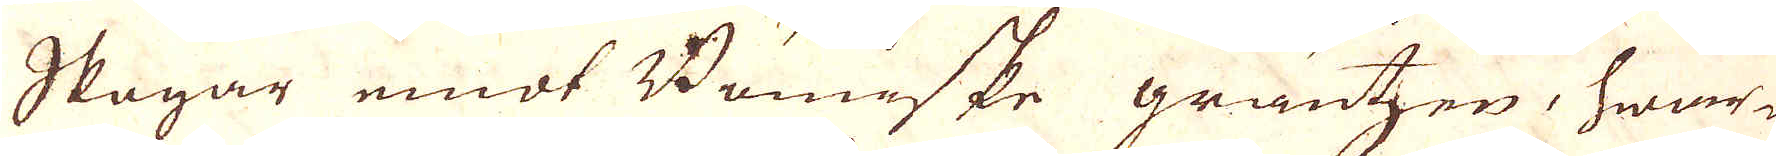Skogar emot Bömiske gräntzen, hwar-
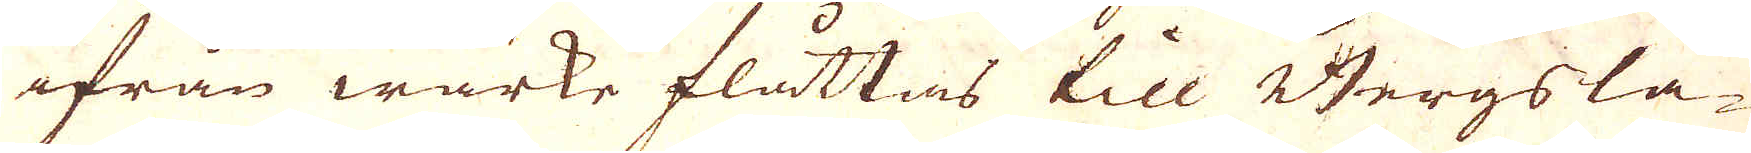ifrån wärke flåttas till Bergsla-
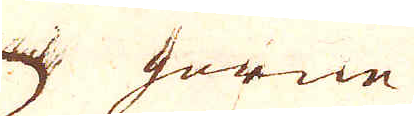gorne
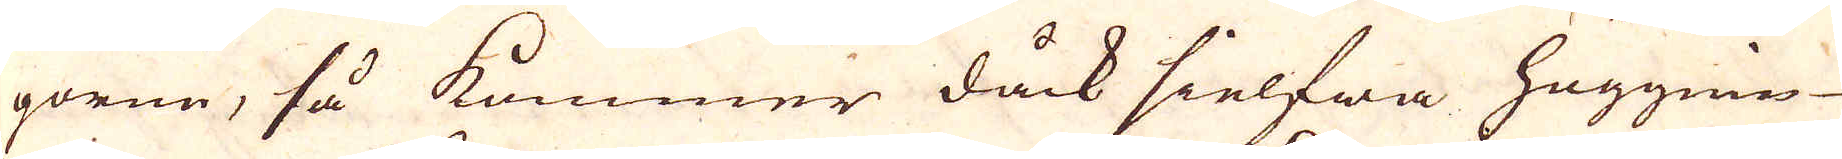gorne, så kommer dåck sielfwa höggnin-
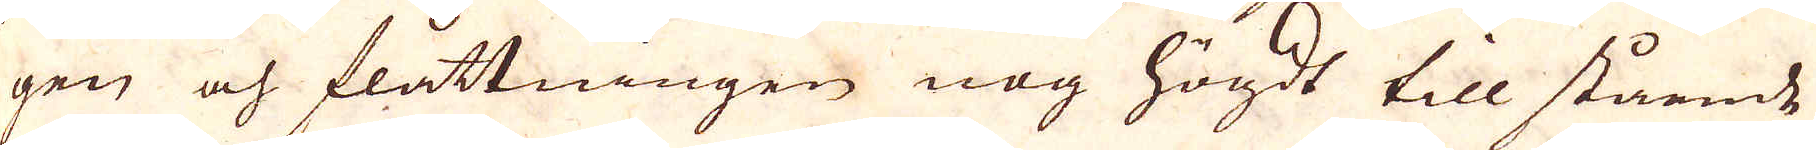gen och flåttningen nog högdt till stående
